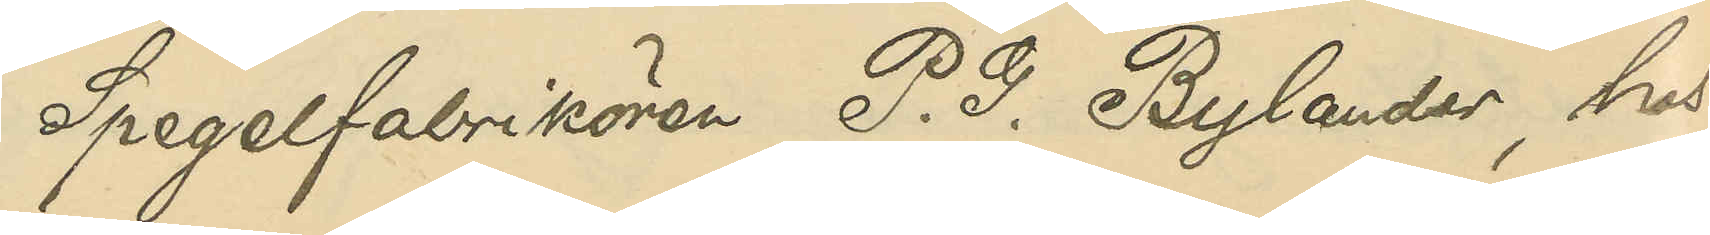Spegelfabrikören P. G. Bylander, hos
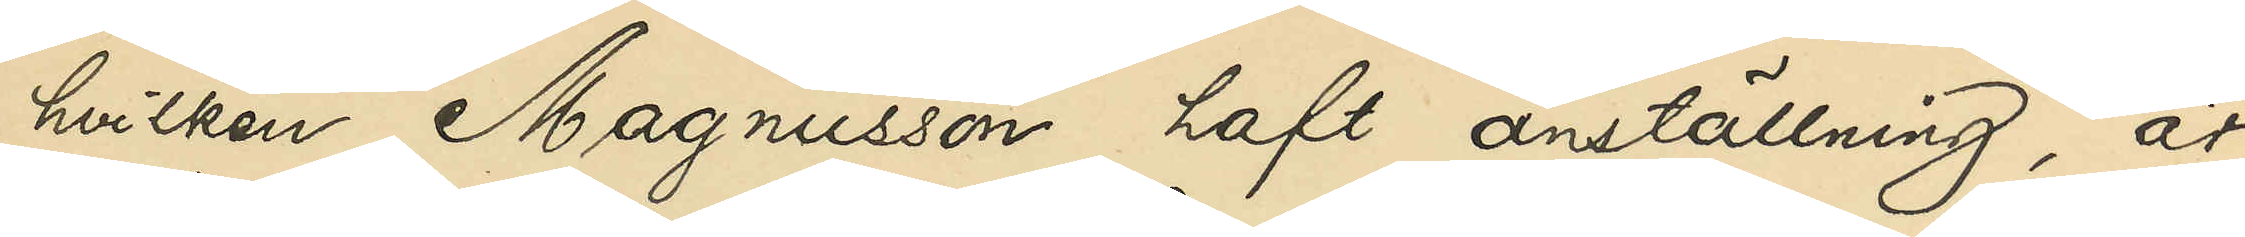hvilken Magnusson haft anställning, är
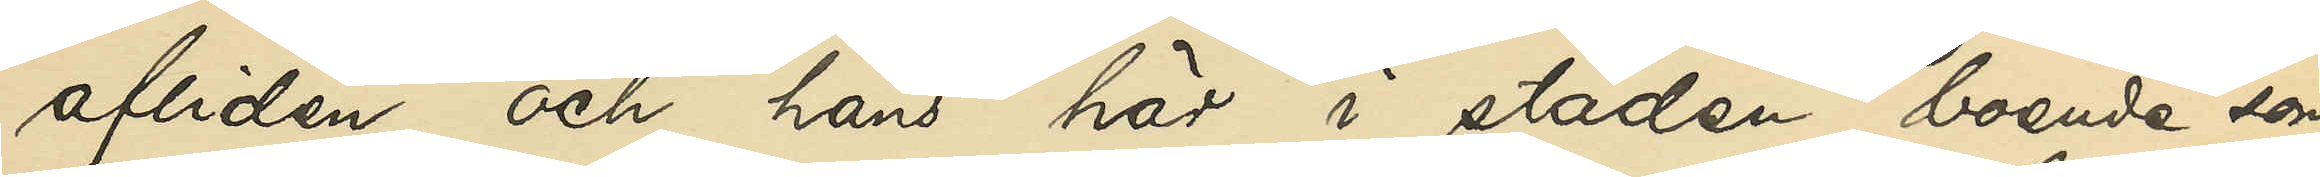afliden, och hans här i staden boende son,
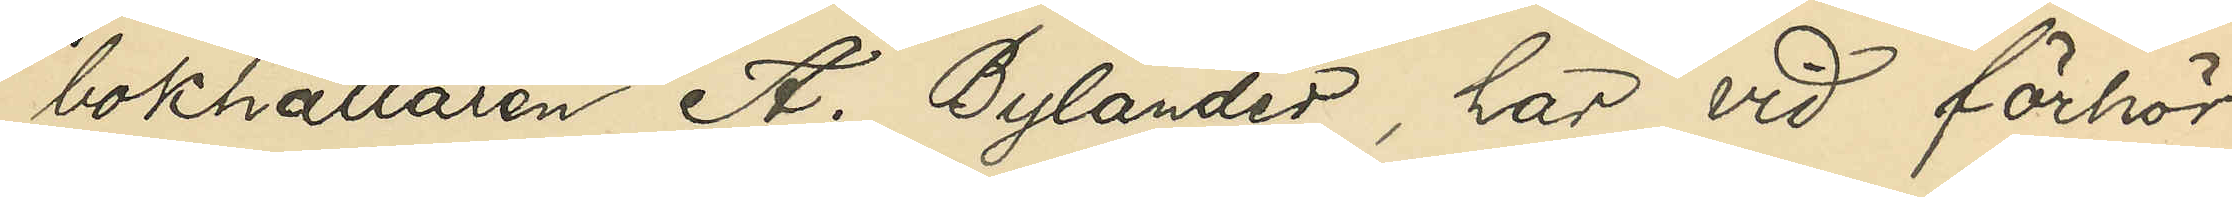bokhållaren A. Bylander, har vid förhör
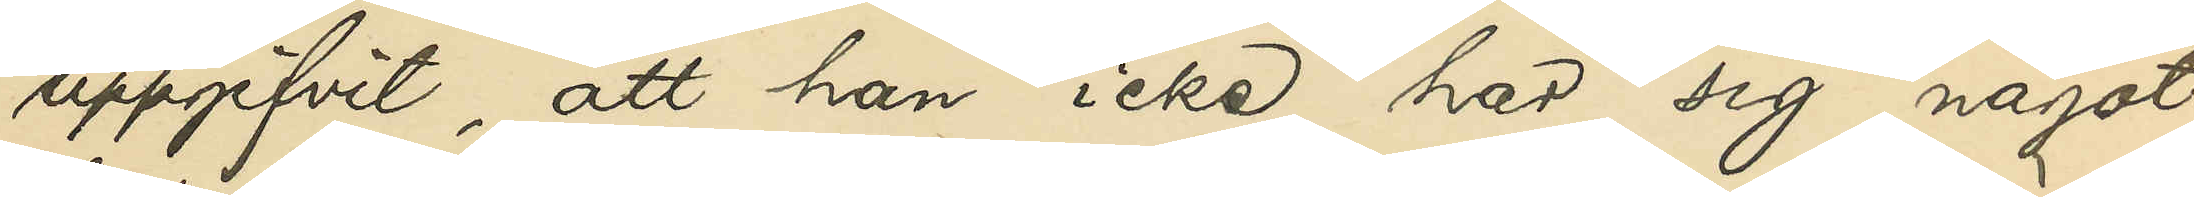uppgifvit, att han icke har sig något
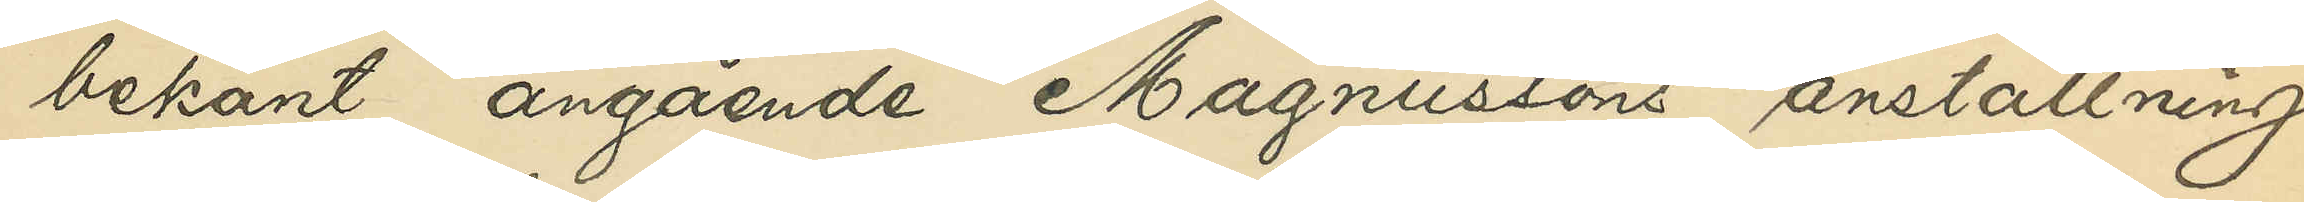bekant angående Magnussons anställning
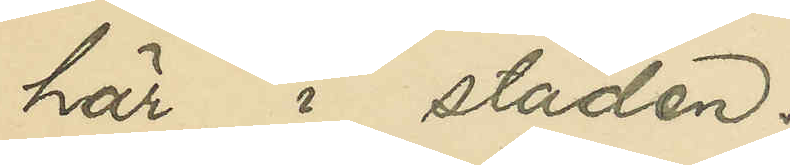här i staden.
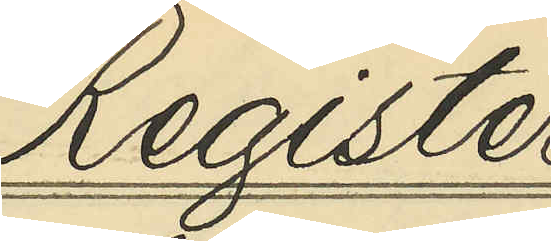Register
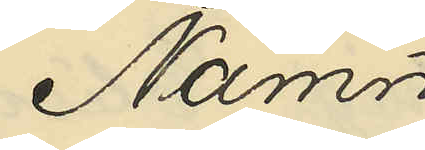Namn
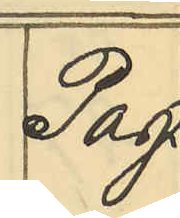Pag.
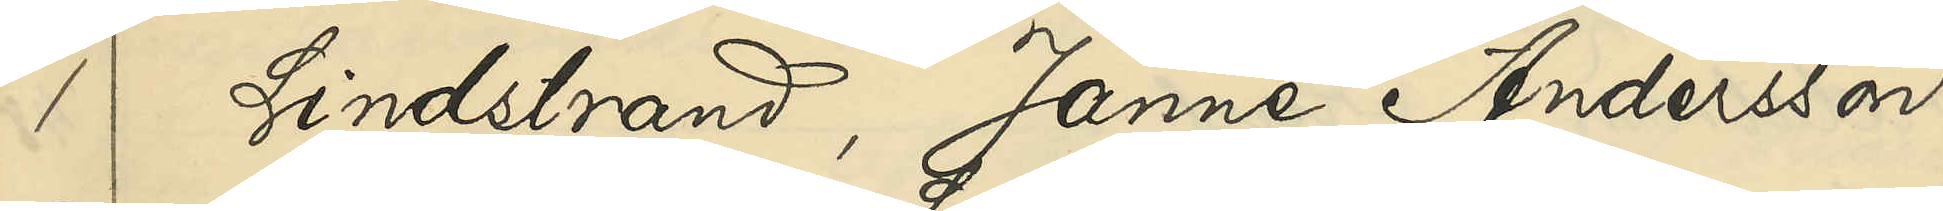1 Lindstrand, Janne Andersson
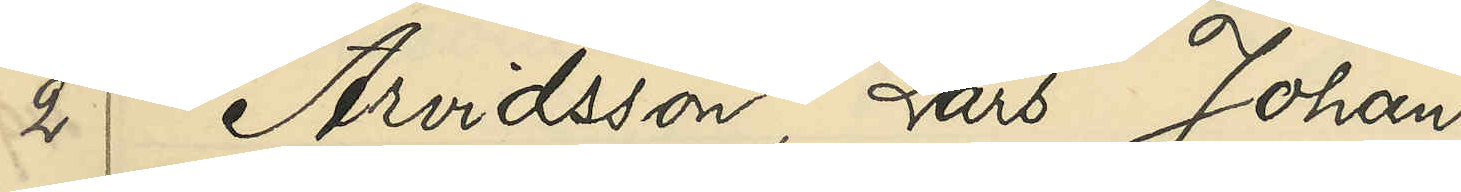2 Arvidsson, Lars Johan
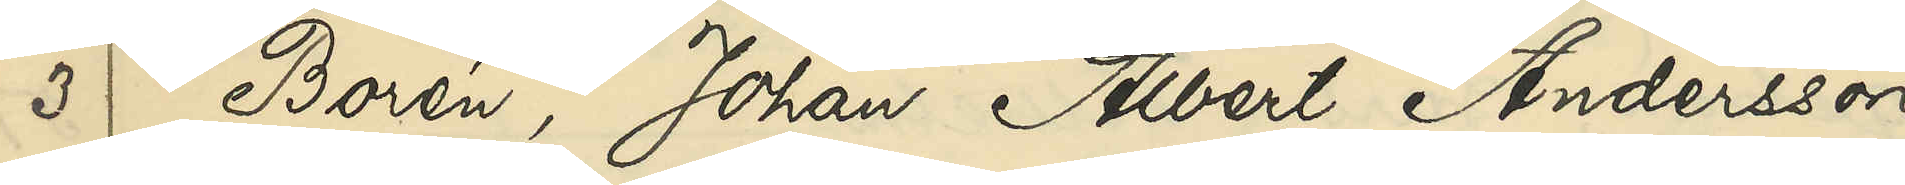3 Borén, Johan Albert Andersson
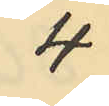4
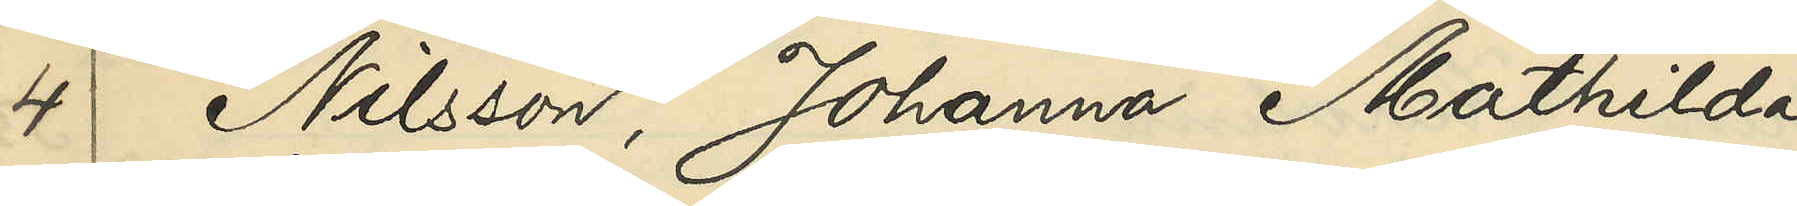4 Nilsson, Johanna Mathilda
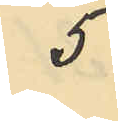5
